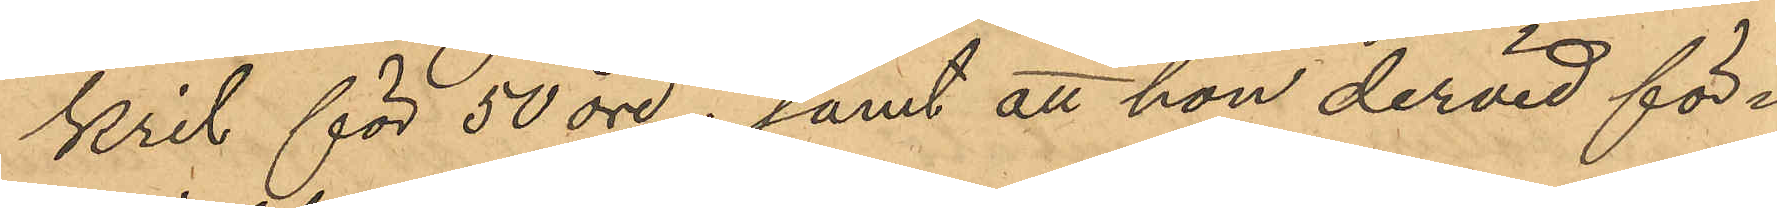kril för 50 öre; samt att hon dervid för¬
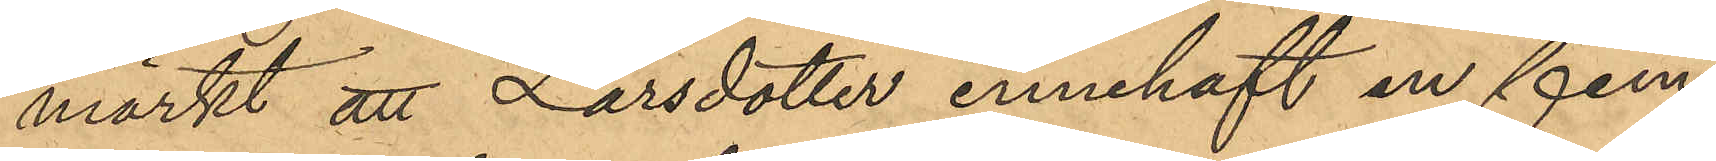märkt att Larsdotter innehaft en fem¬
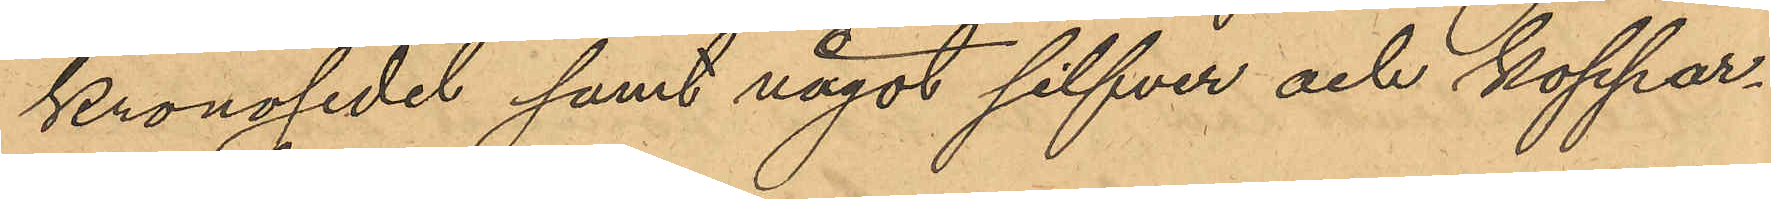kronosedel samt något silfver och koppar¬
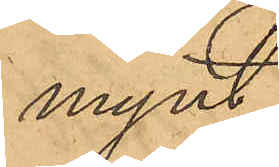mynt.
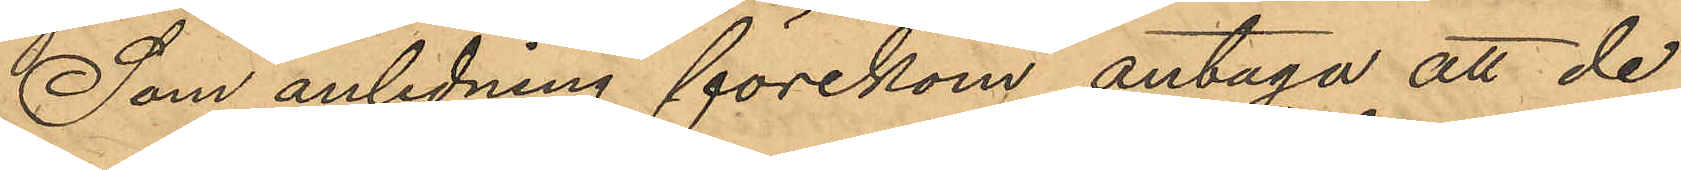Som anledning förekom antaga att de
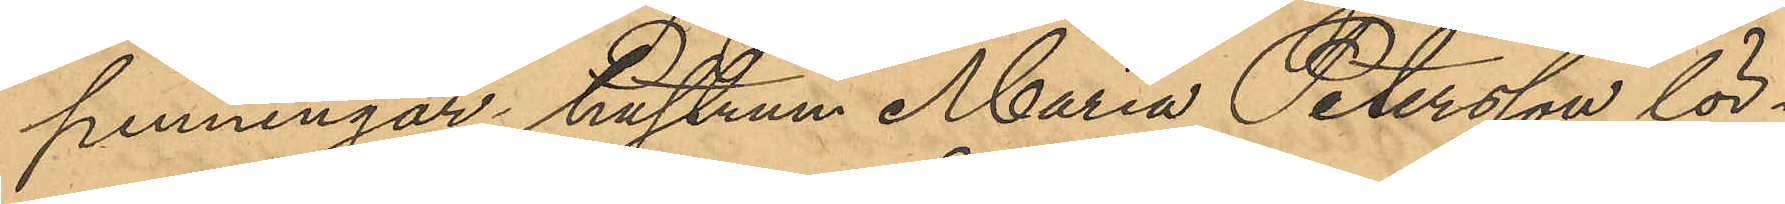penningar hustrun Maria Petersson lör¬
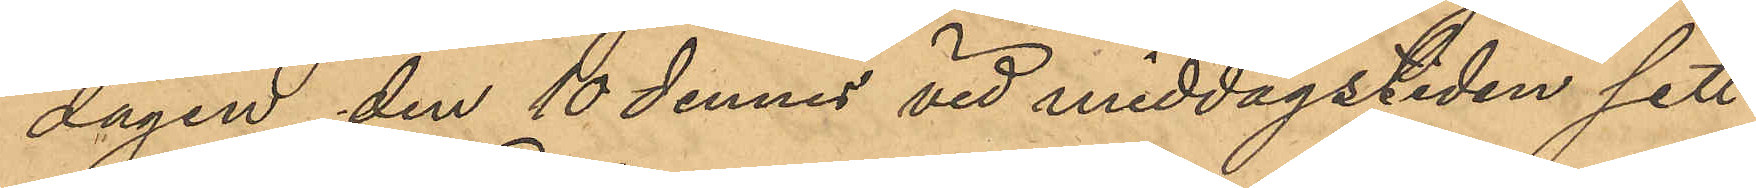dagen den 10 dennes vid middagstiden sett
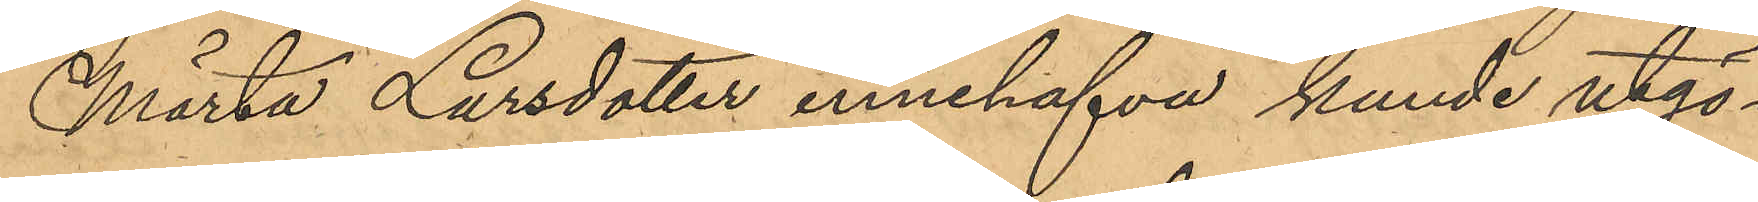Märta Larsdotter innehafva kunde utgö¬
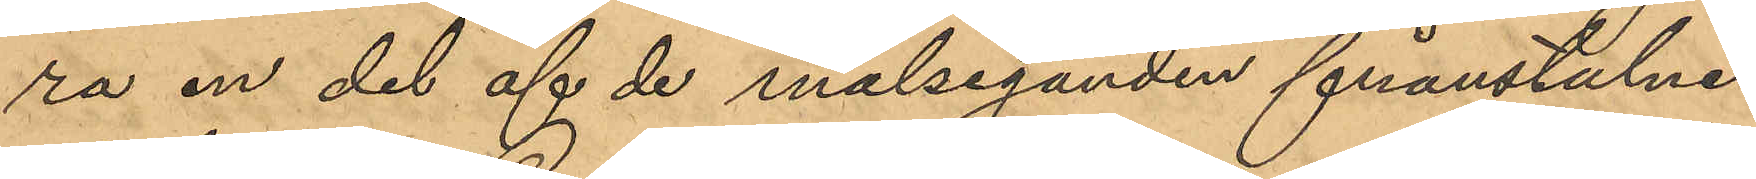ra en del af de målseganden frånstulne
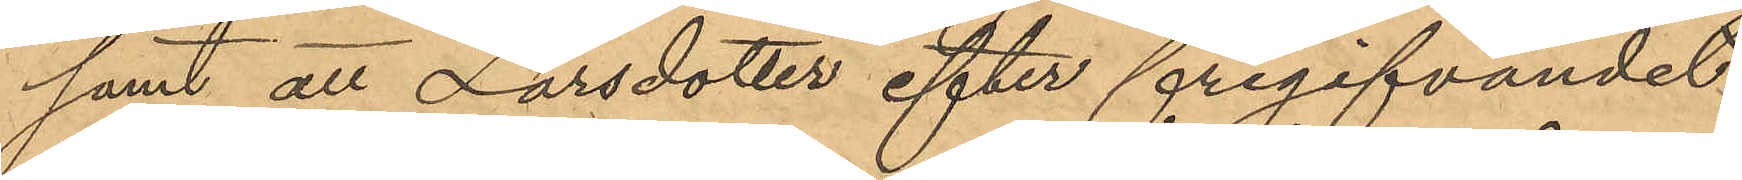samt att Larsdotter efter frigifvandet
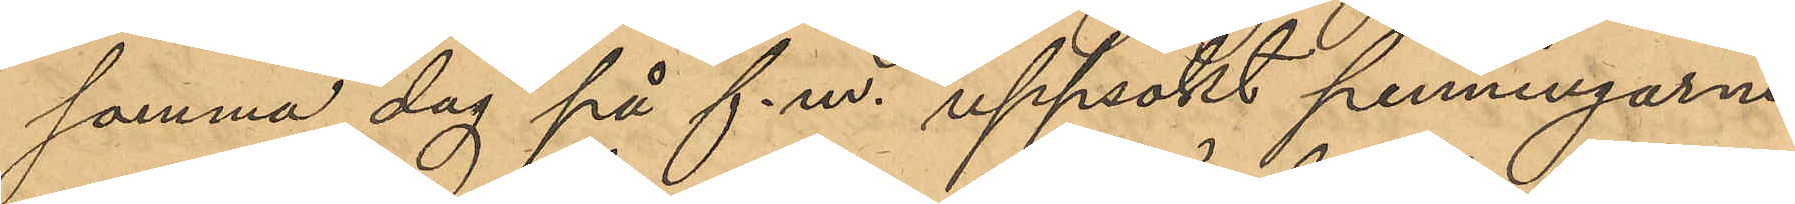samma dag på f.m. uppsökt penningarne
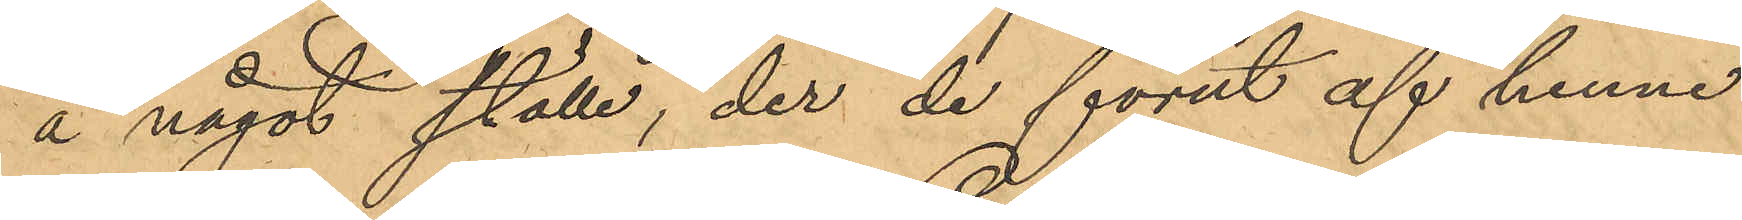å något ställe, der de förut af henne
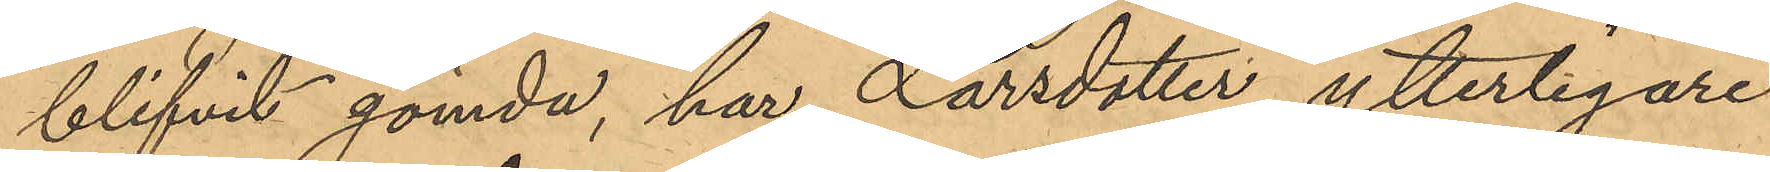blifvit gömda, har Larsdotter ytterligare
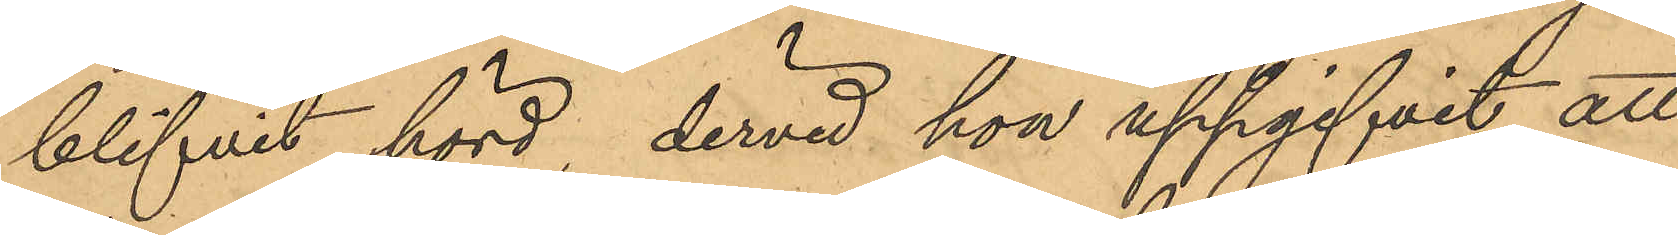blifvit hörd, dervid hon uppgifvit att
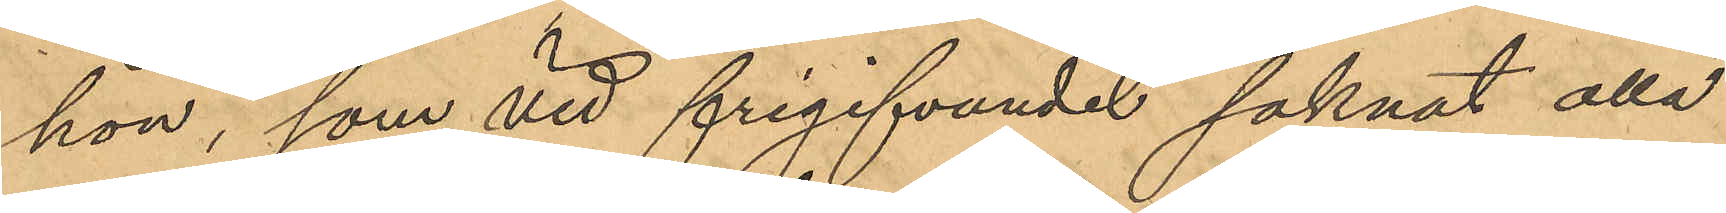hon, som vid frigifvandet saknat alla
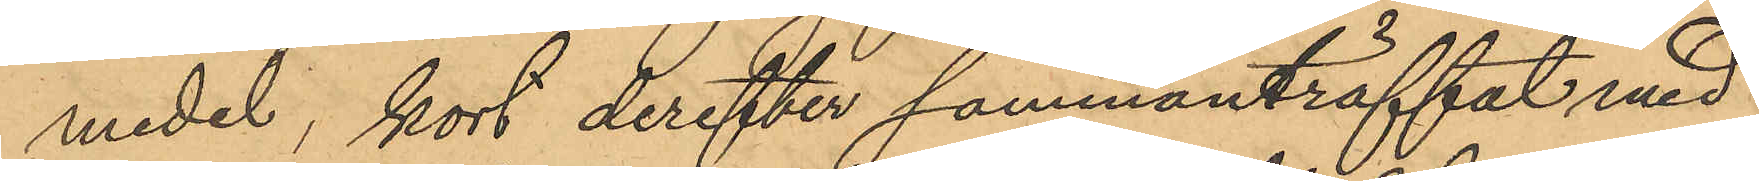medel, kort derefter sammanträffat med
